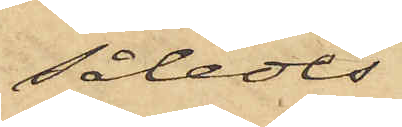således
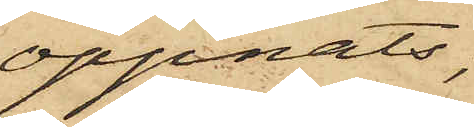öppnats;
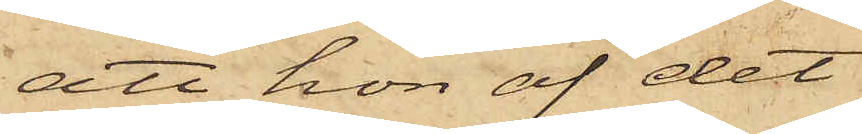att hon af det
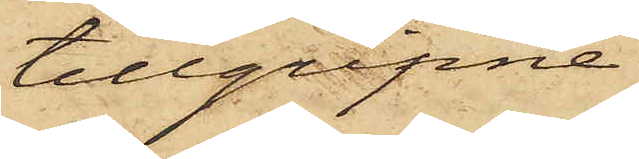tillgripne
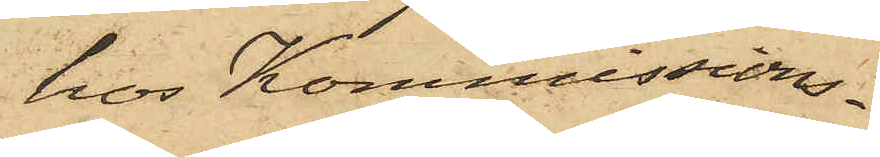hos Kommissions¬
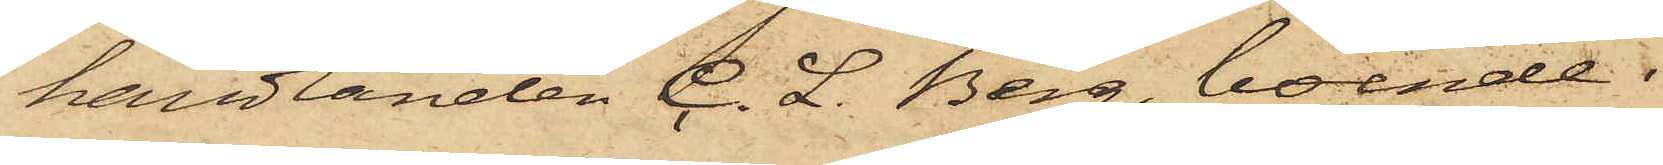handlanden C. L. Berg, boende
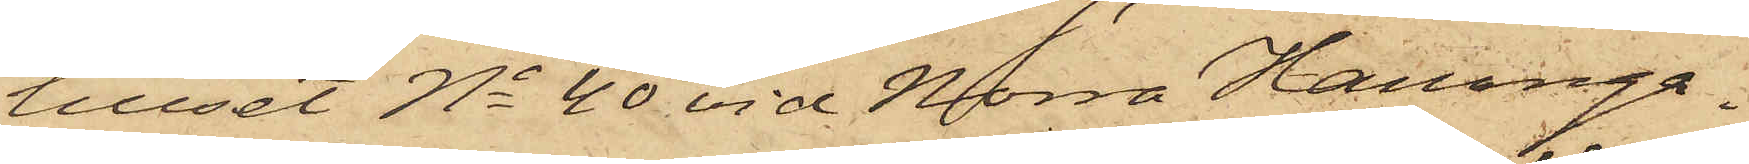huset No 40 vid Norra Hamnga¬
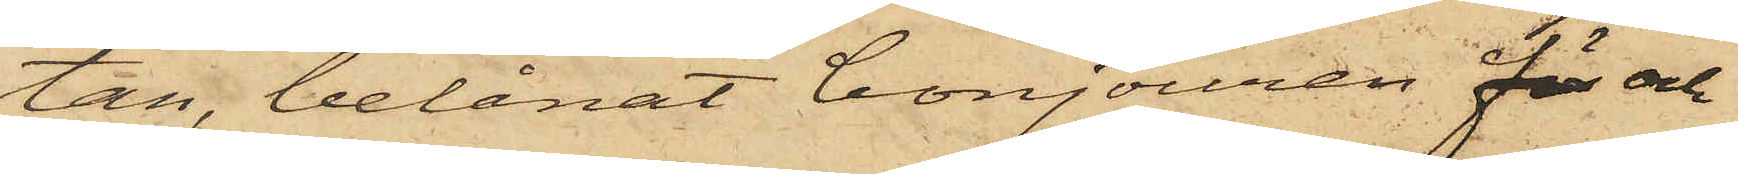tan, belånat bonjouren för och
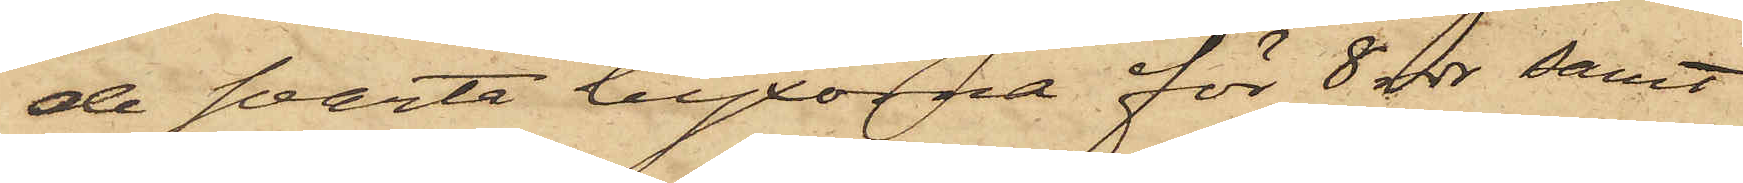de svarta byxorna för 8 rdr samt
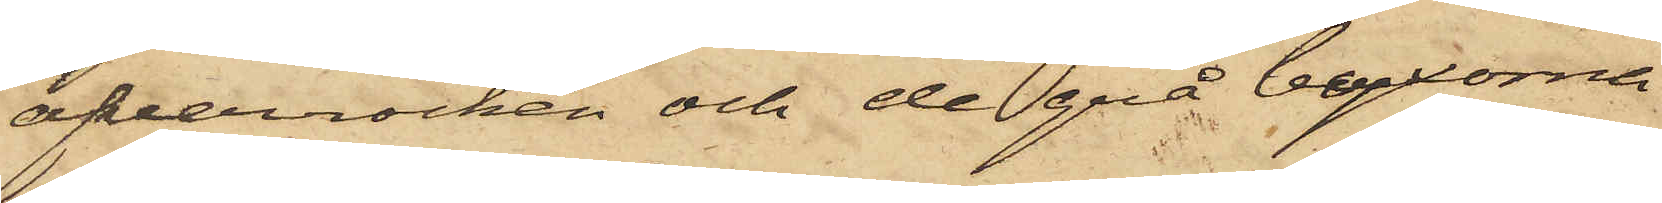öfverrocken och de grå byxorna
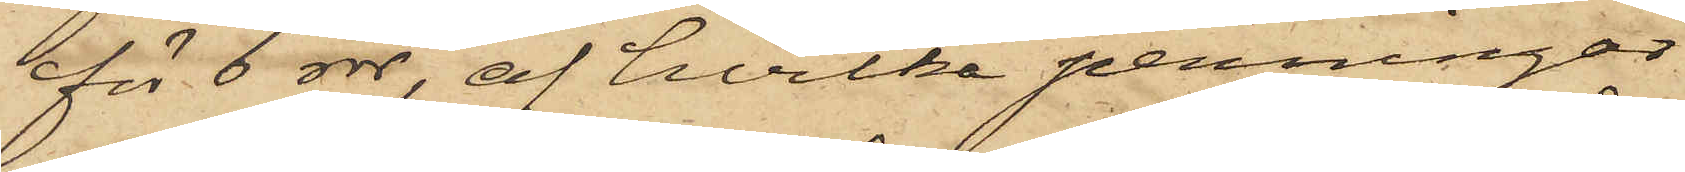för 6 rdr, af hvilka penningar
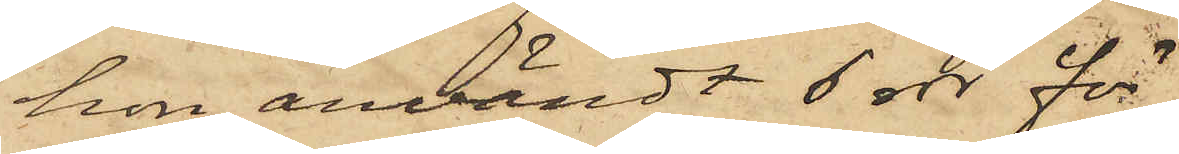hon användt 6 rdr för
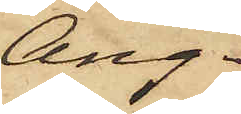Ång¬
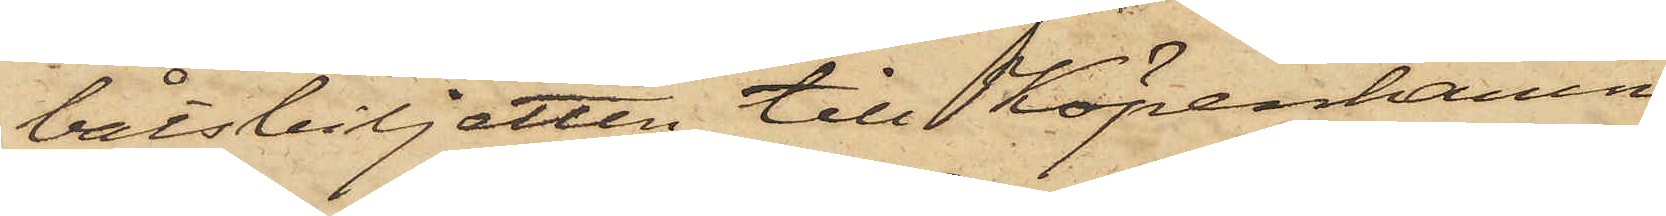båtsbiljetten till Köpenhamn
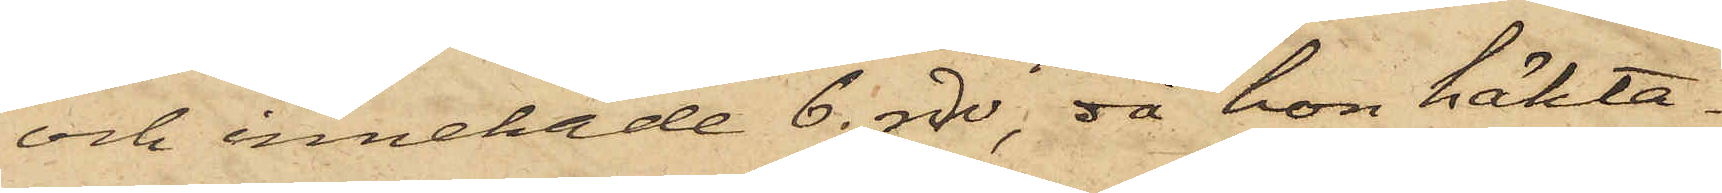och innehade 6. rdr, då hon häkta¬
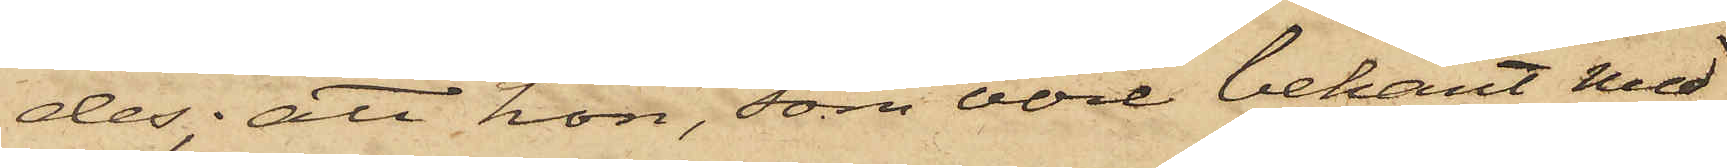des; att hon, som vore bekant med
